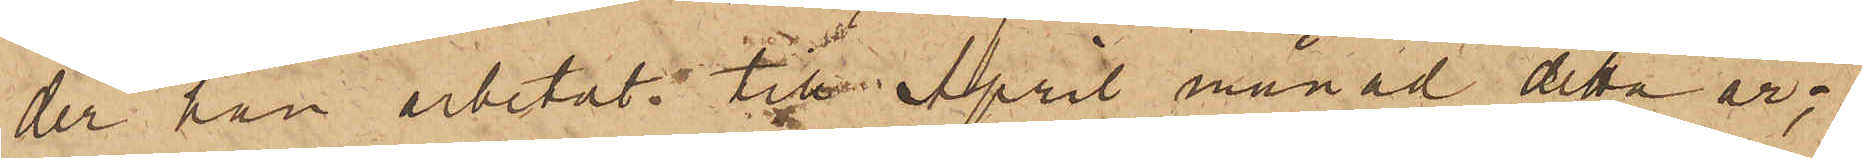der han arbetat till April månad detta år;
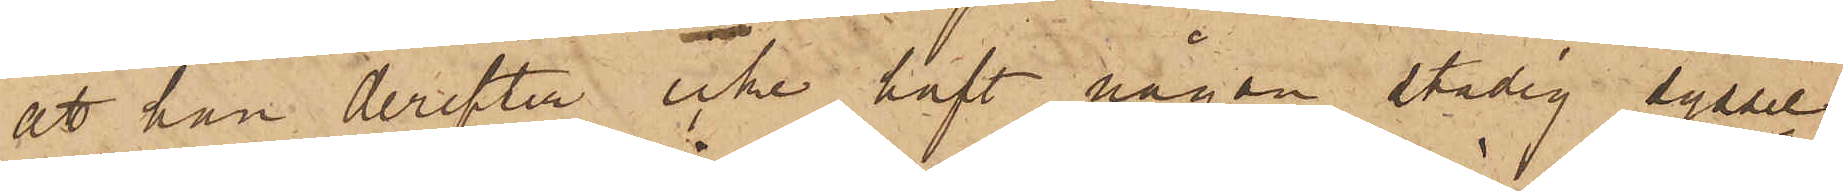att han derefter icke haft någon stadig syssel¬
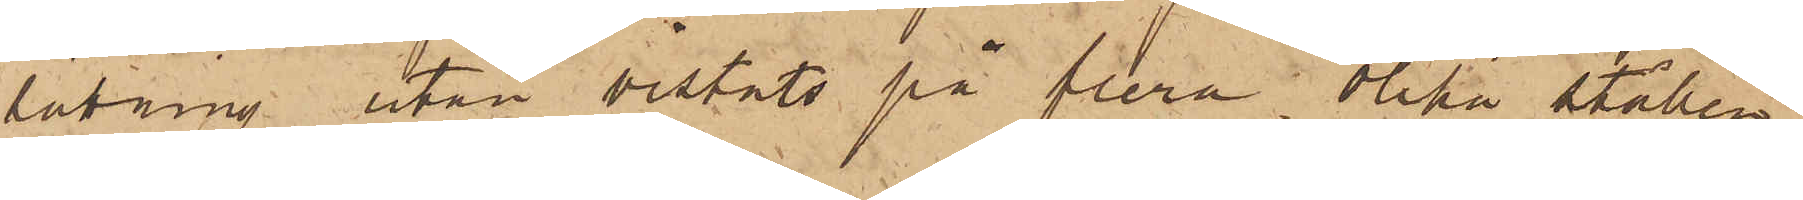sättning utan vistats på flera olika ställen,
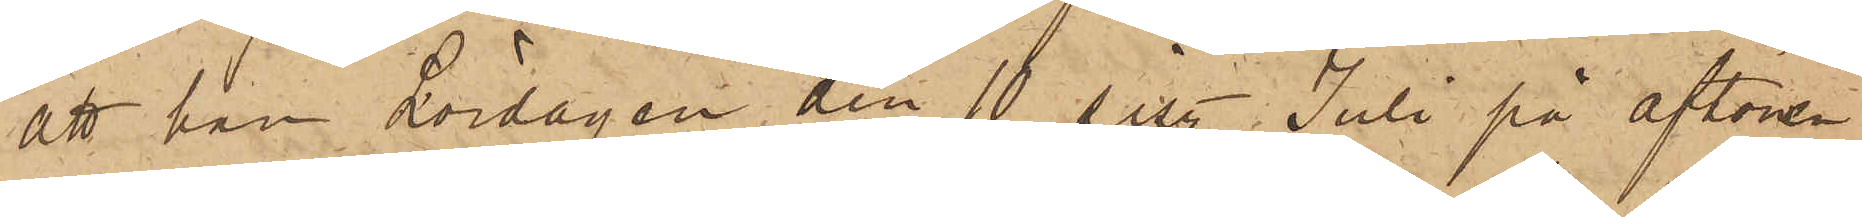att han Lördagen den 10 sist. Juli på aftonen
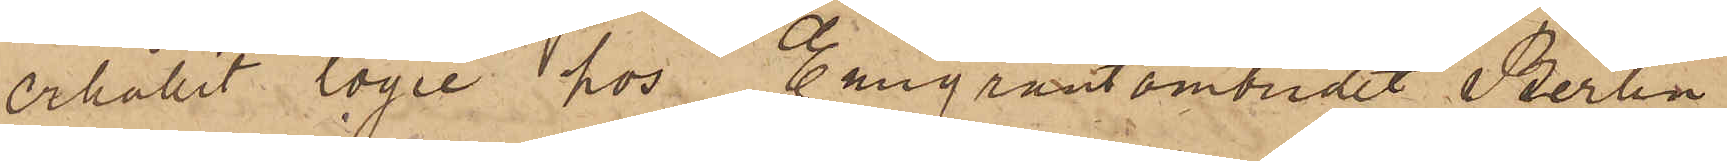erhållit logie hos Emigrantombudet Berlin
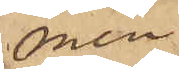men
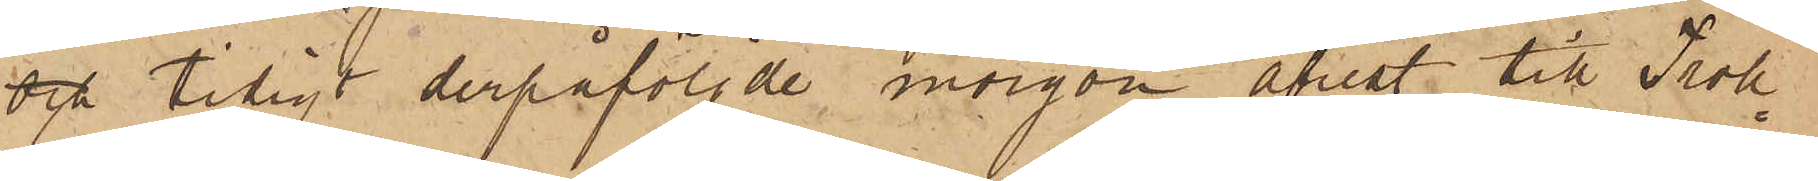och tidigt derpåföljde morgon afrest till Troll¬
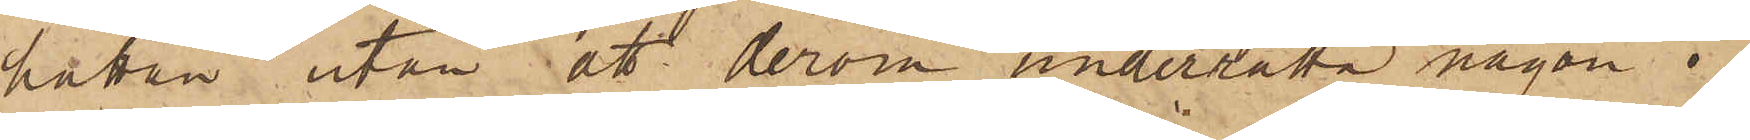hättan utan att derom underrätta någon i
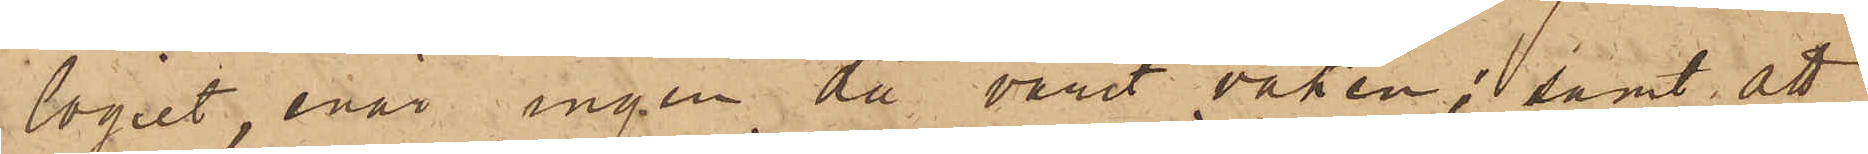logiet, enär ingen då varit vaken; samt att
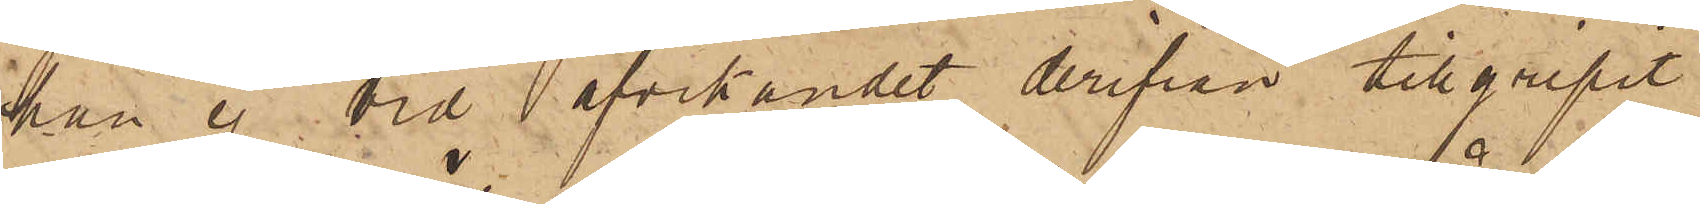han ej vid afvikandet derifrån tillgripit
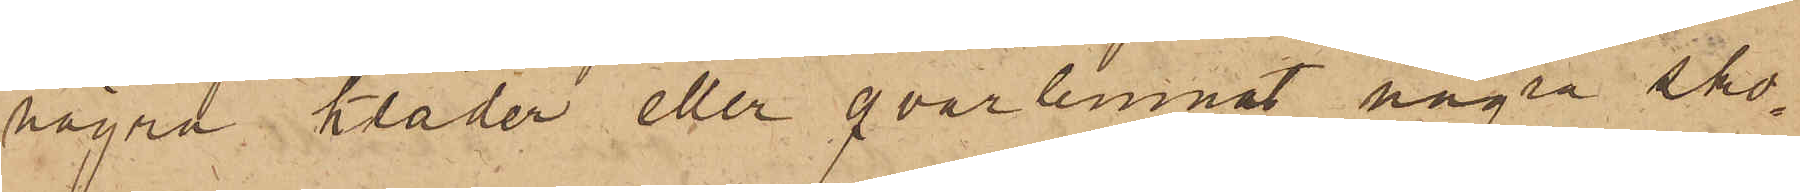några kläder eller qvarlemnat några sko¬
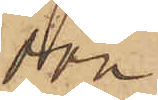don
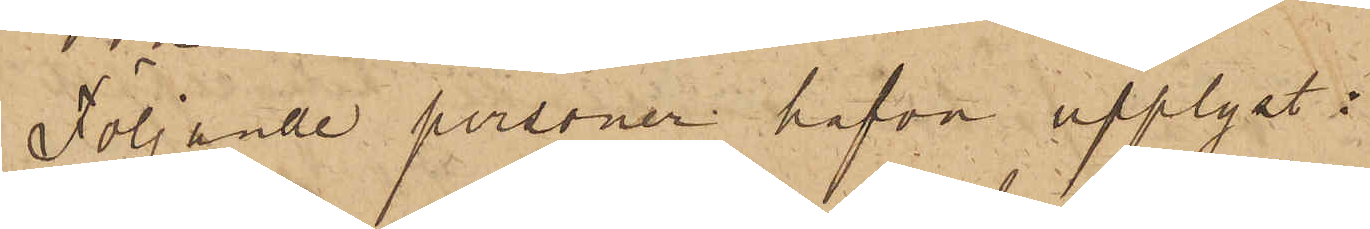Följande personer hafva upplyst: 
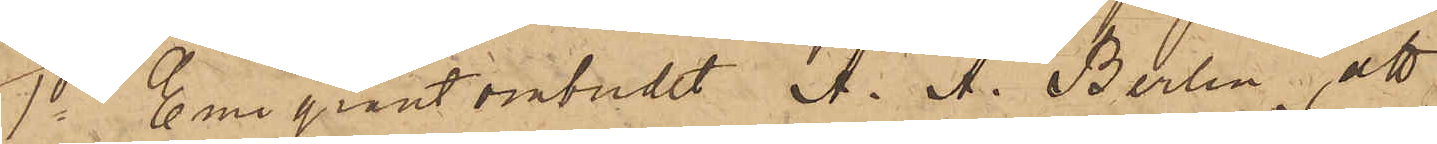1o Emigrantombudet A. A. Berlin, att
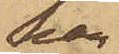han
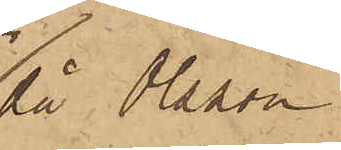då Olsson
